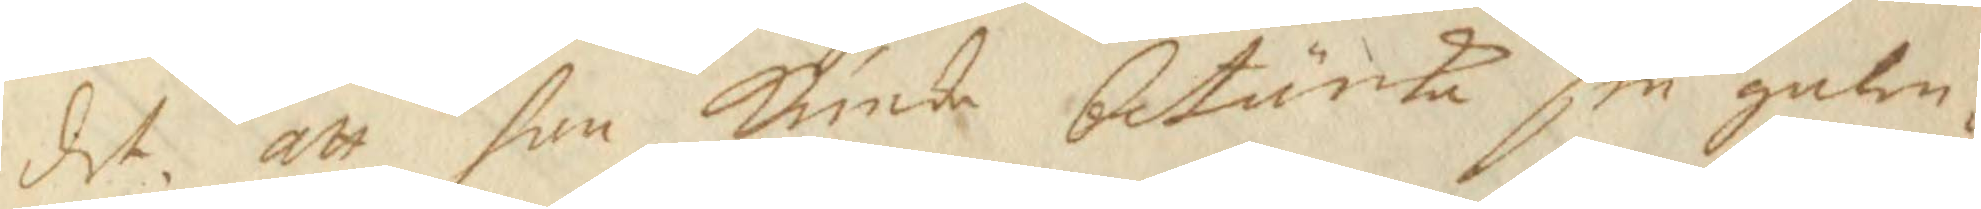det, att han kunde betänka sin galen¬
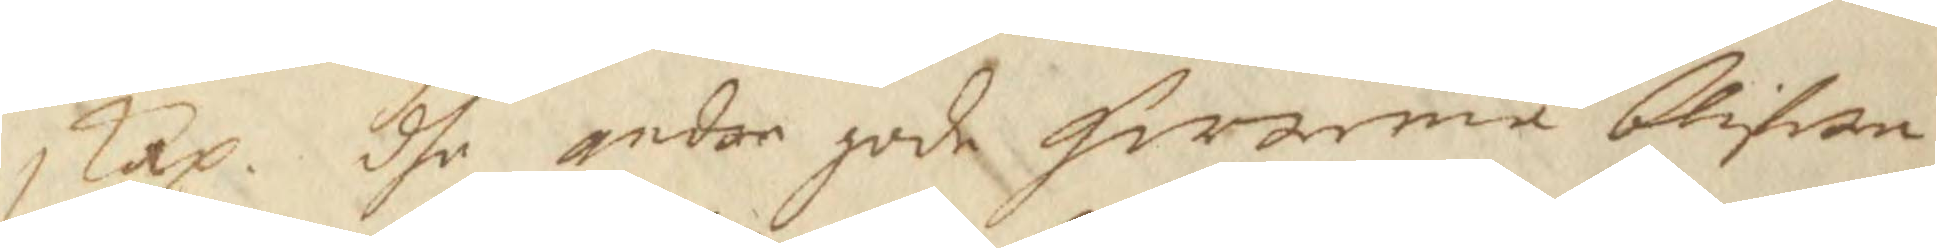skap. dhe andre gode herrarna blifwa
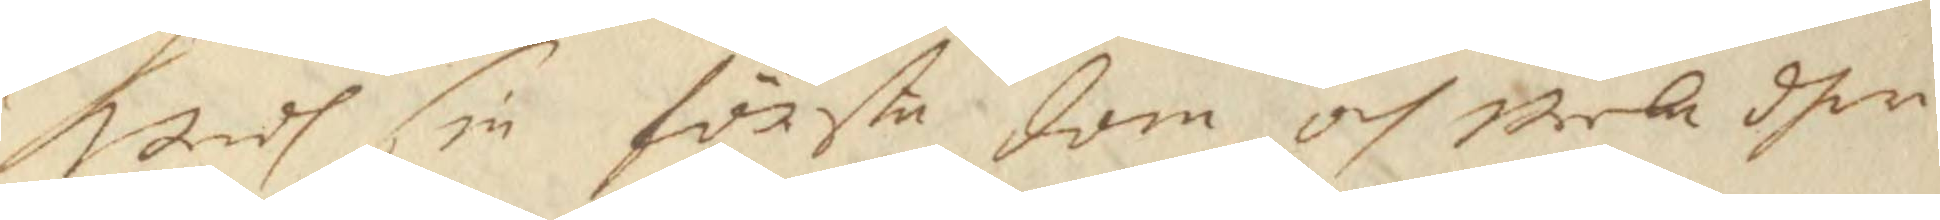wedh sin första dom och weela dher¬
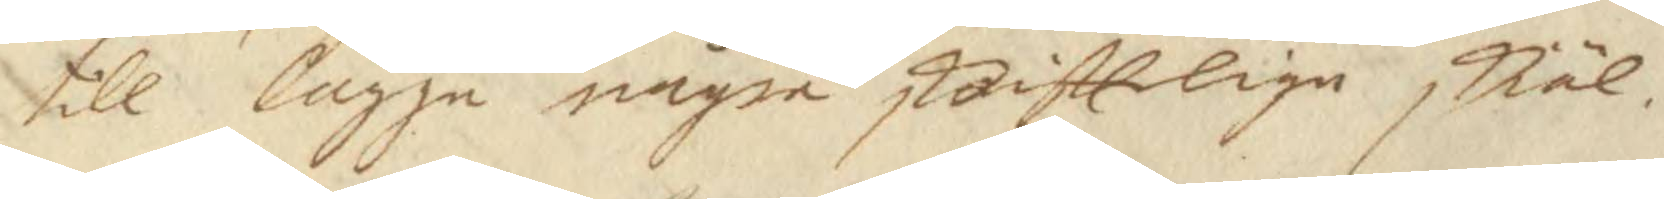till lägge några skrifttlige skiäl.
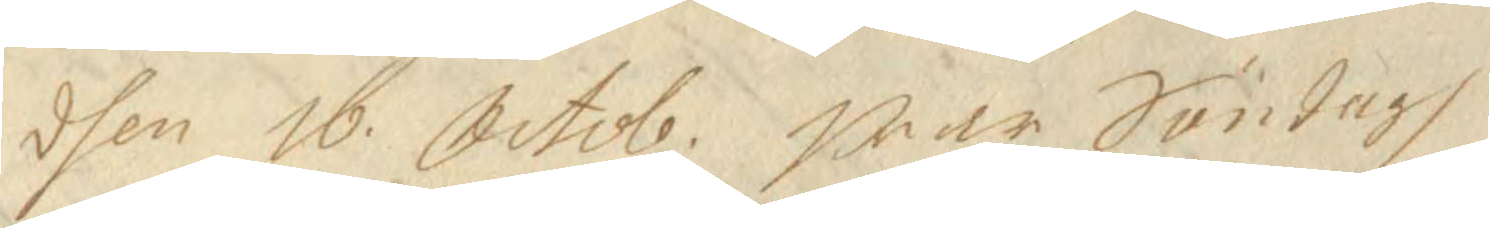dhen 16 Octob. war Söndagh 
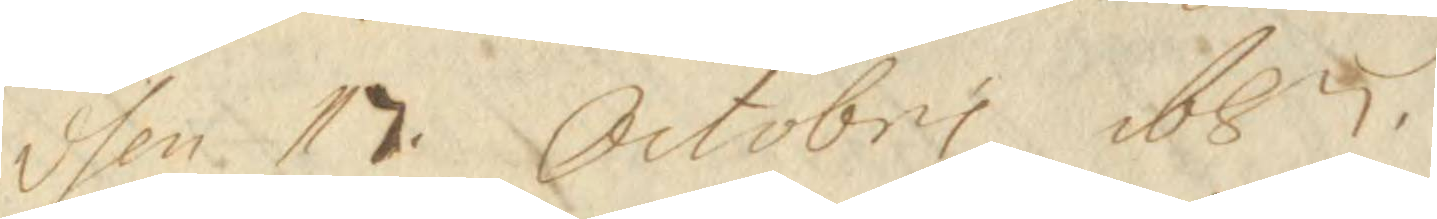dhen 17 Octobri 1687.
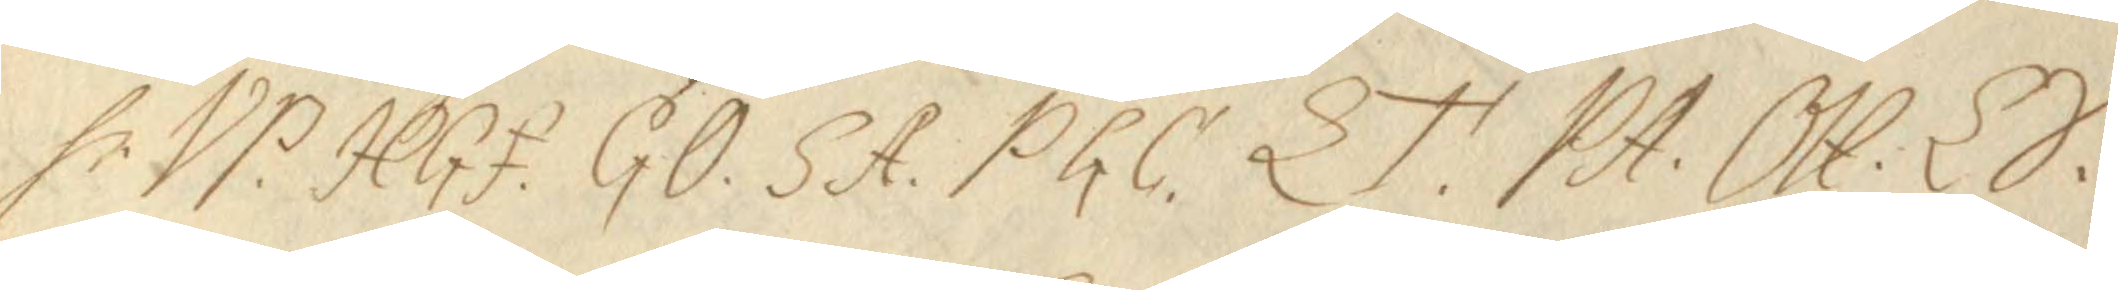Hr VP. HGf. GÖ. SA. PGC. LT. PA. OH. LS. 
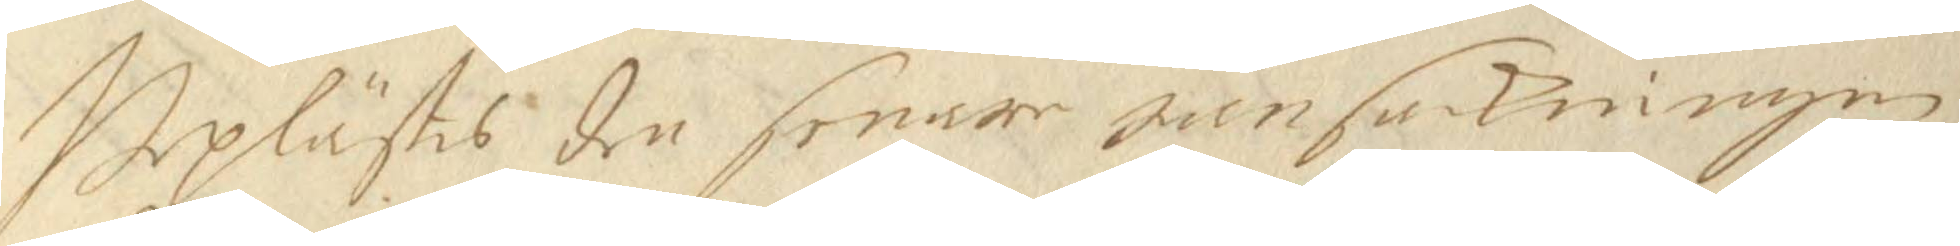Upplästes den senare Ransakningen
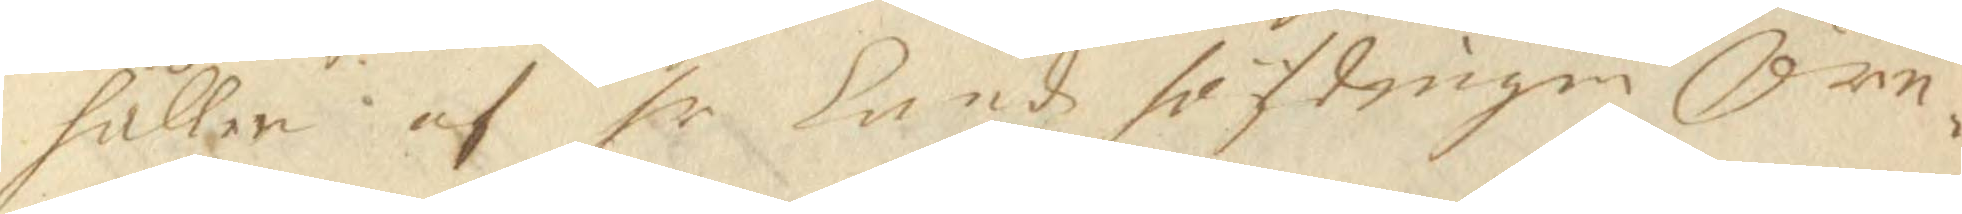hållen af hr Landz höfdingen Örn¬ 
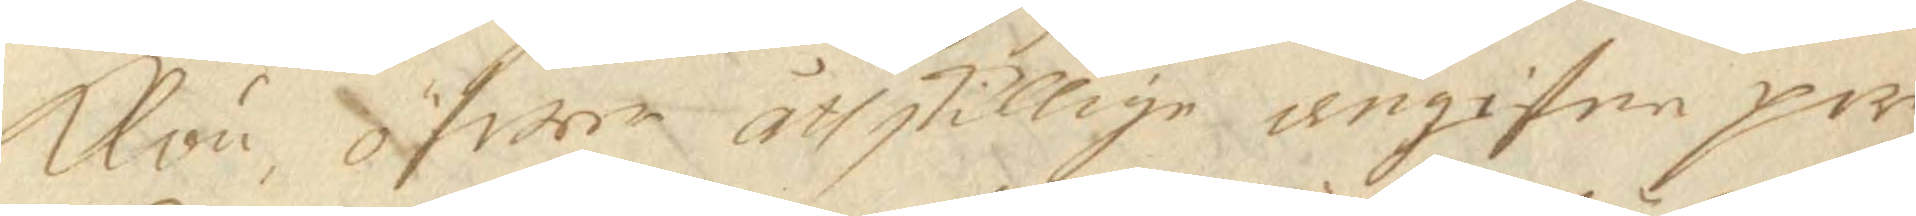Klou öfwer åthskillige angifne per¬
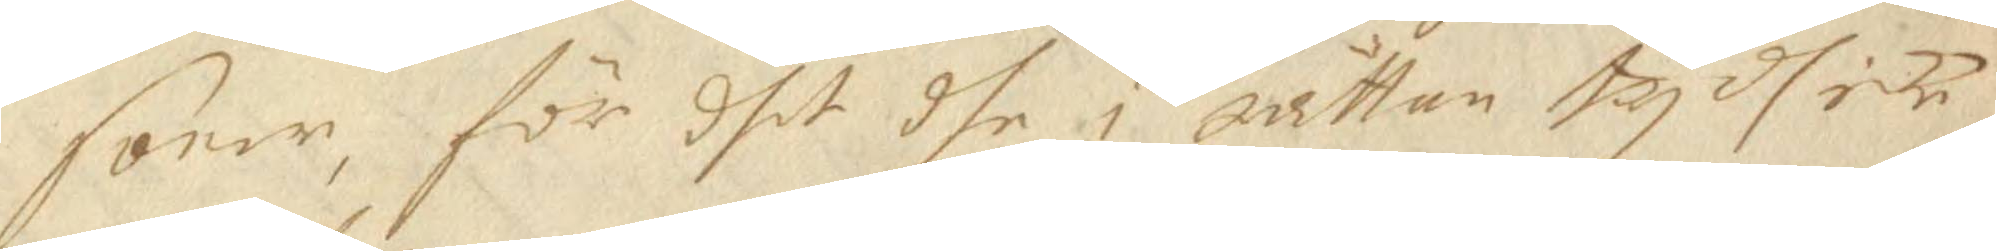soner, för dhet dhe i rättan tydh icke
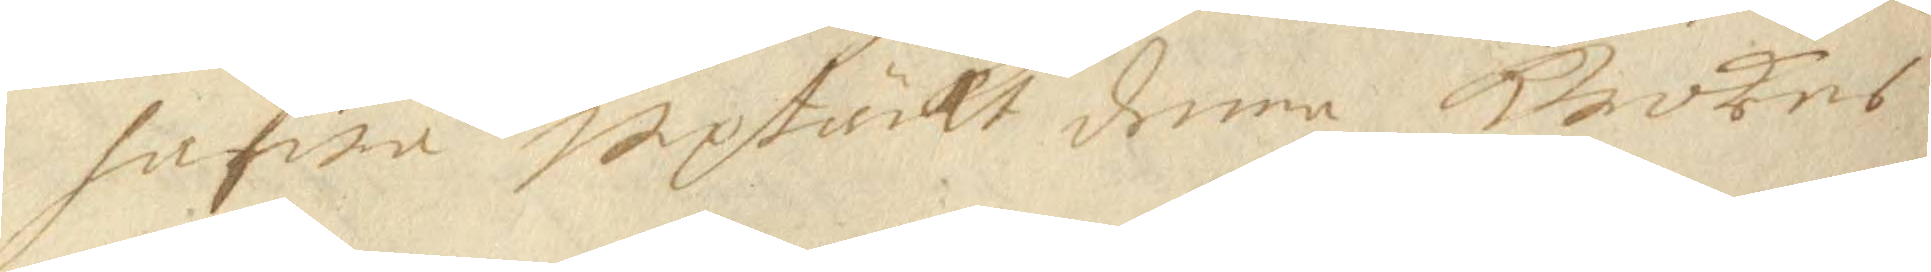hafwa uptäckt denna Krokes
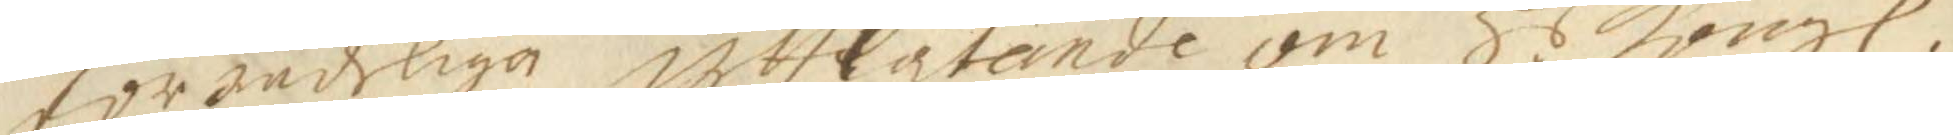förzådeliga uthlåtande om H.s Kongl.
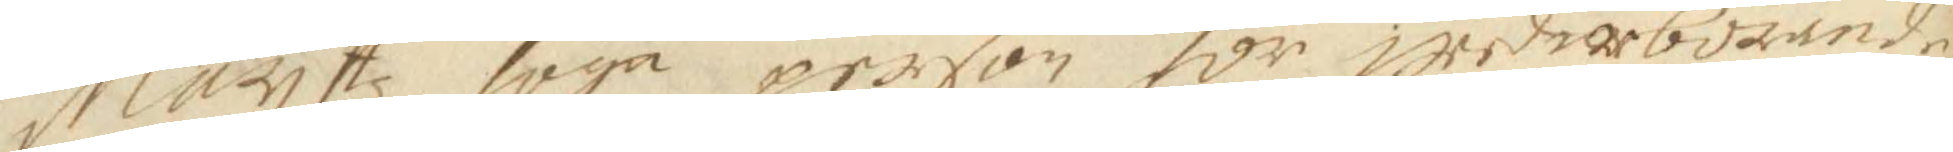Mayttz höga person för wederbörande
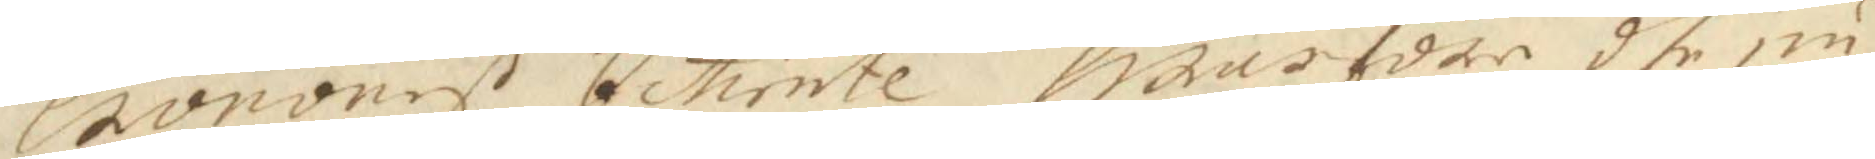cronones betiente, hwarföre dhe nu
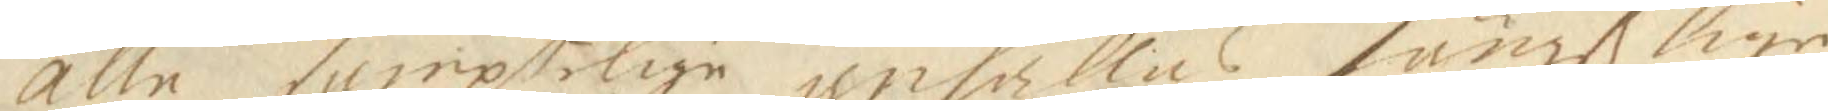alle samptelige anhålles fängßlige.
